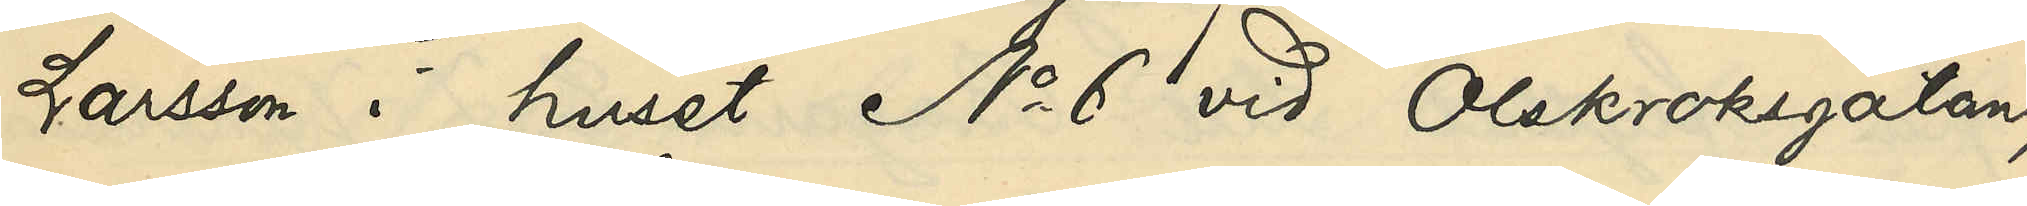Larsson i huset No 6 vid Olskroksgatan;
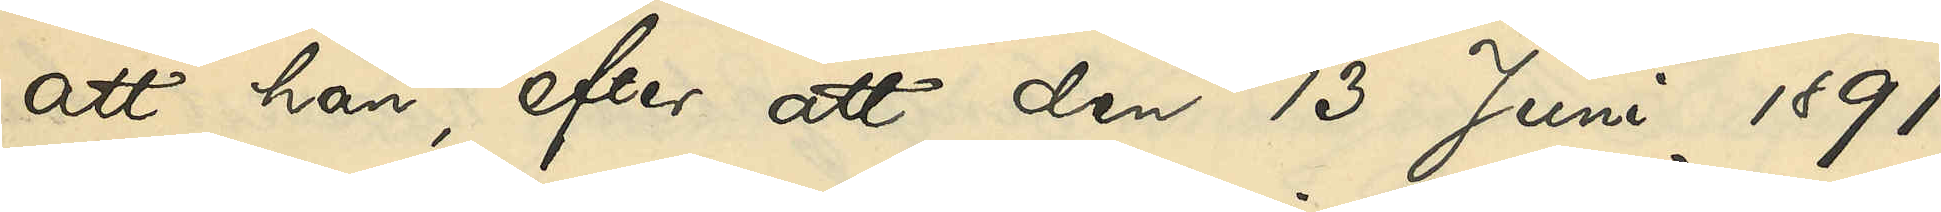att han, efter att den 13 Juni 1891
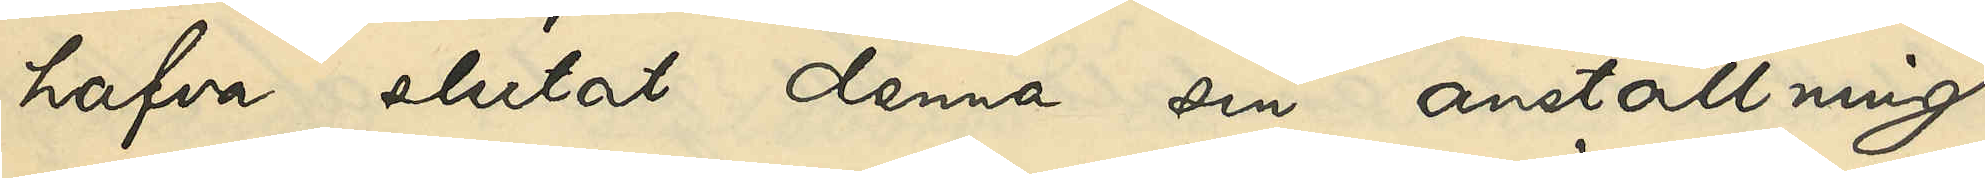hafva slutat denna anställning,
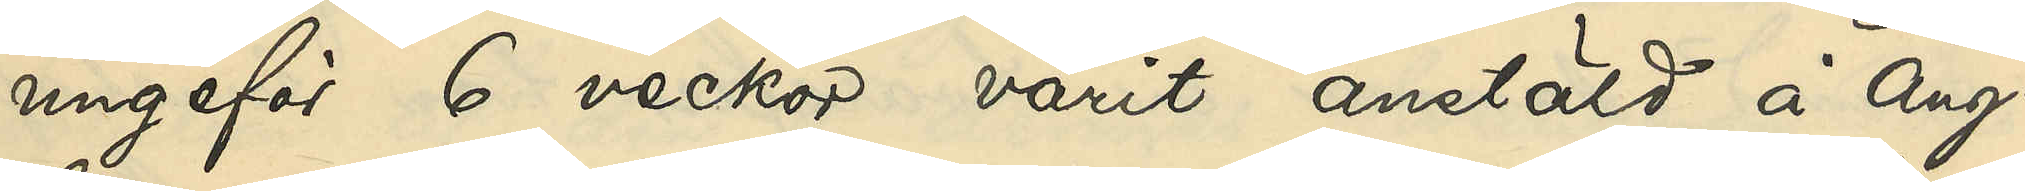ungefär 6 veckor varit anstäld å Ång¬
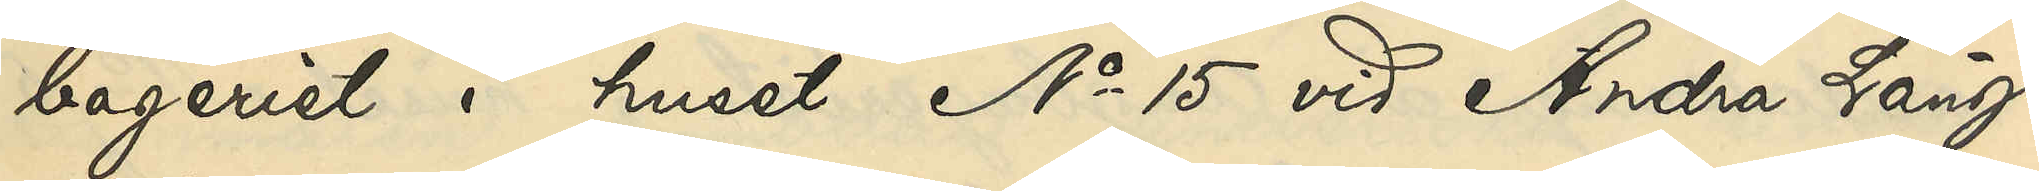bageriet i huset No 15 vid Andra Lång¬
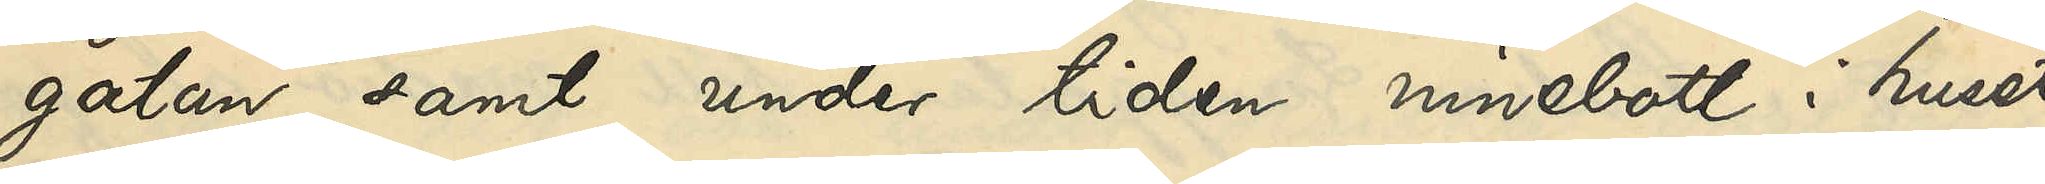gatan samt under tiden innebott i huset
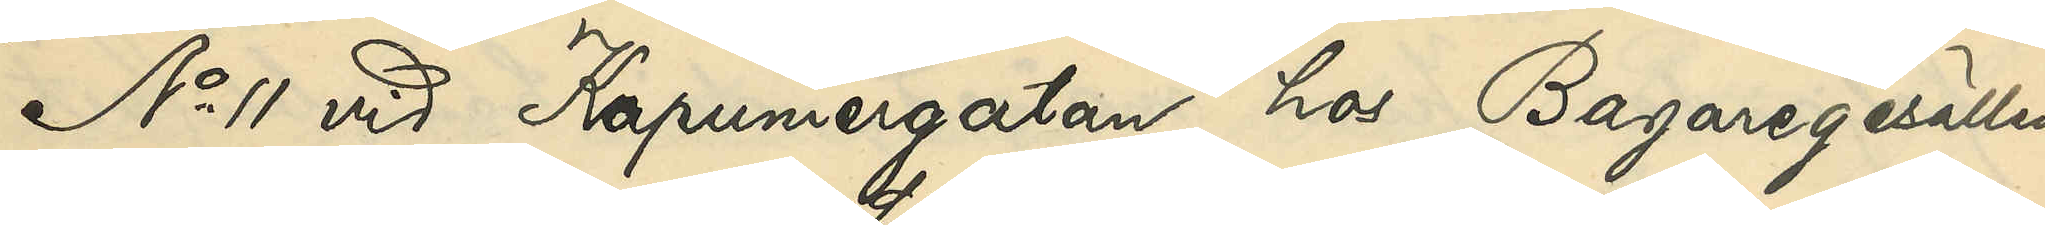No 11 vid Kapuniergatan hos Bagaregesällen
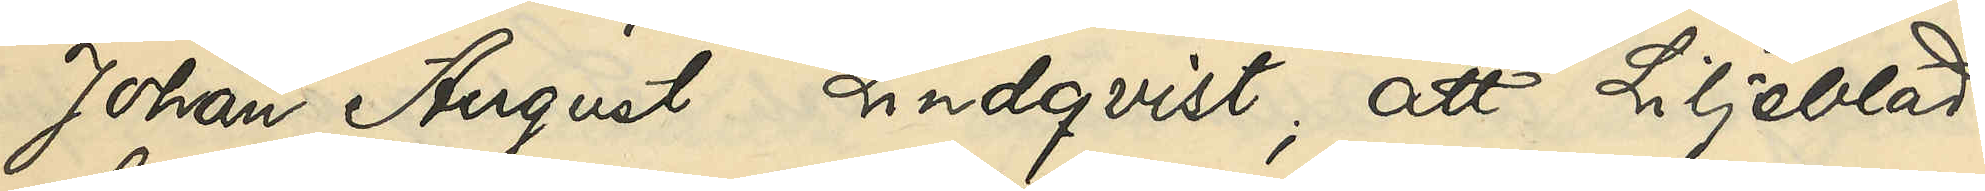Johan August Lindqvist; att Liljeblad
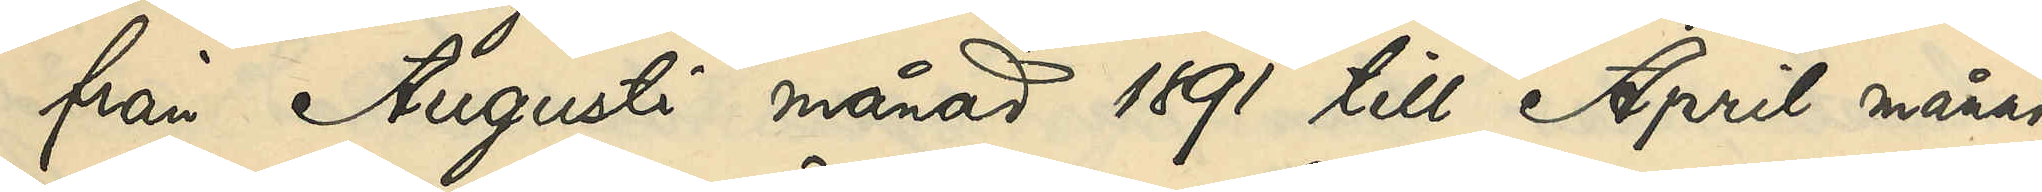från Augusti månad 1891 till April månad
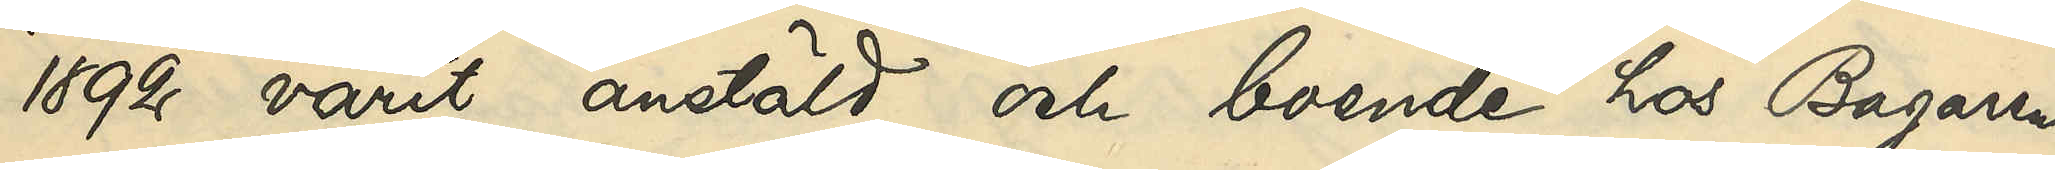1892 varit anstäld och boende hos Bagaren
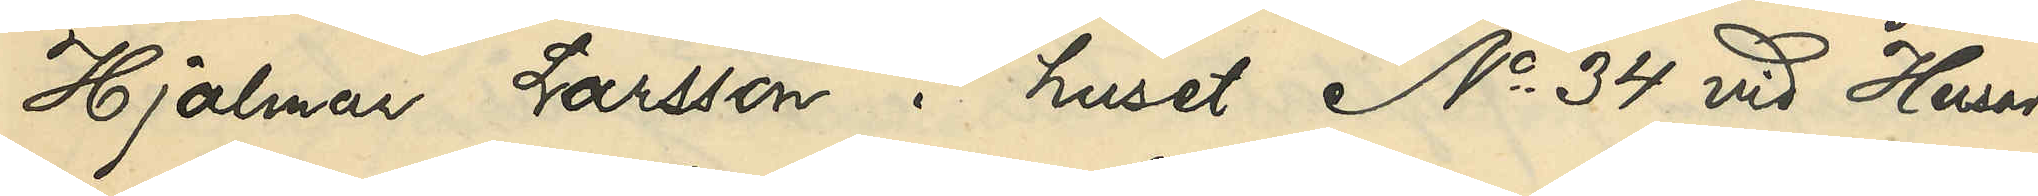Hjalmar Larsson i huset No 34 vid Husar¬
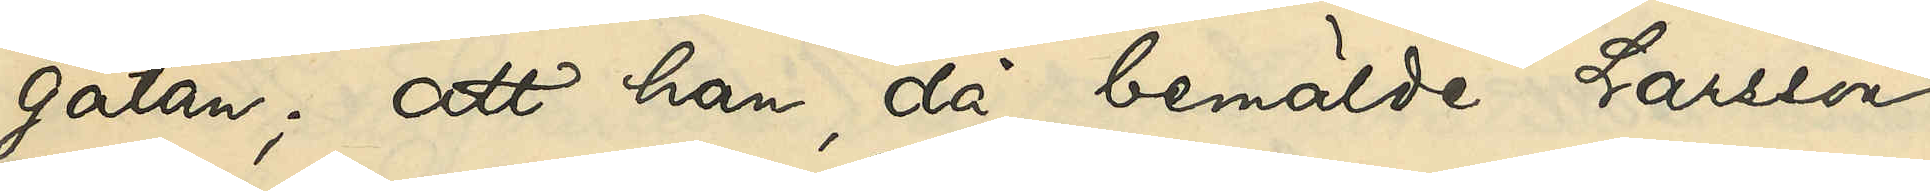gatan; att han, då bemälde Larsson
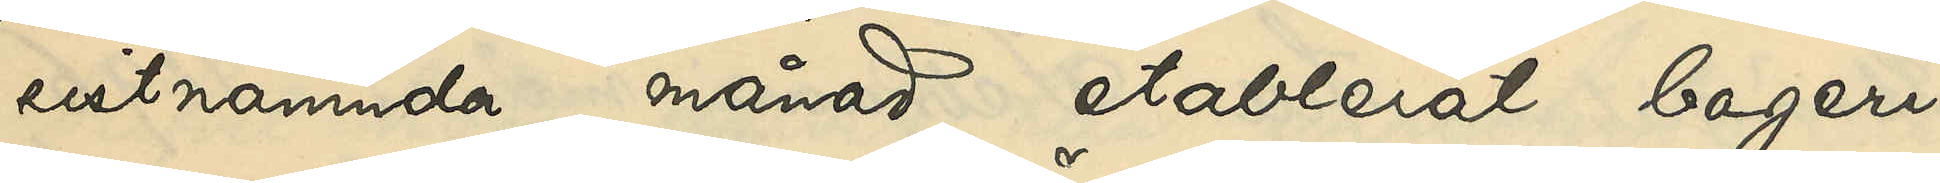sistnämnda månad etablerat bageri¬
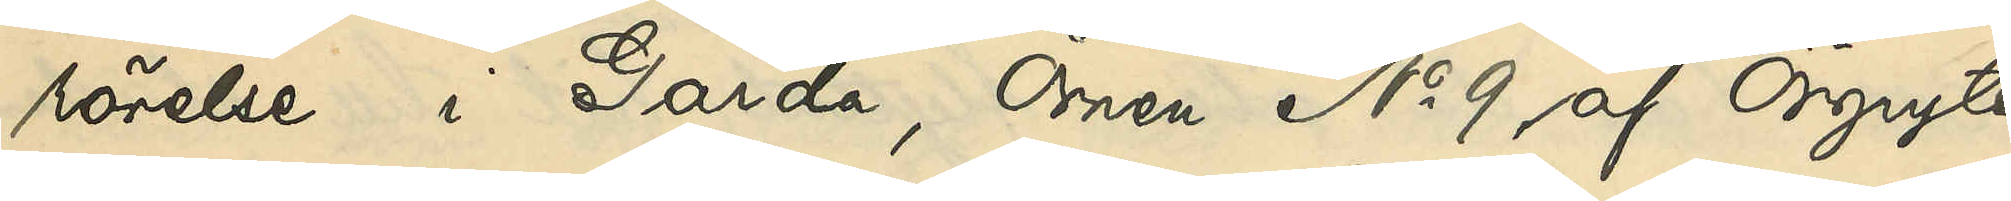rörelse i Gårda, Örnen No 9 af Örgryte
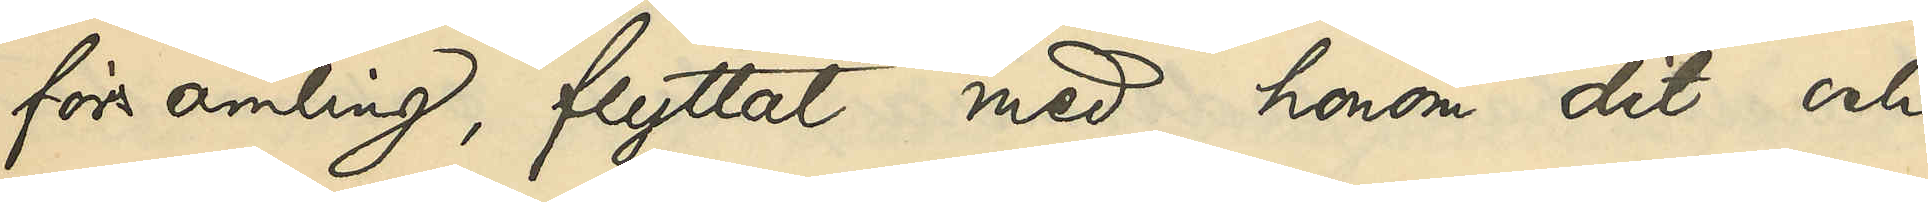församling, flyttat med honom dit och
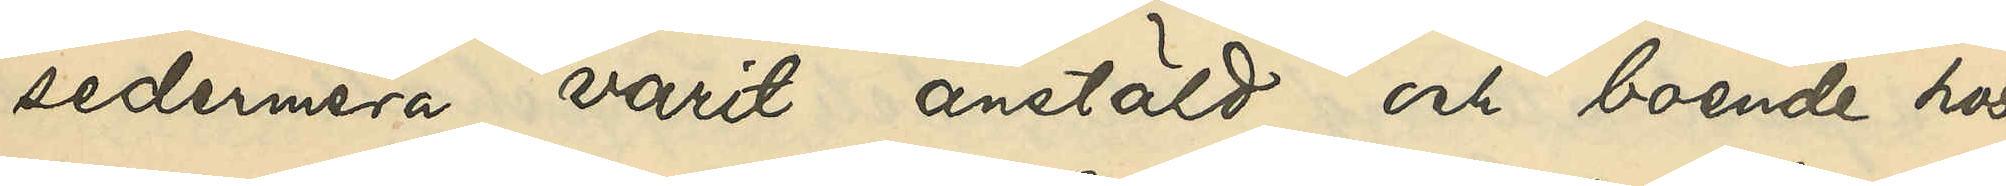sedermera varit anstäld och boende hos
